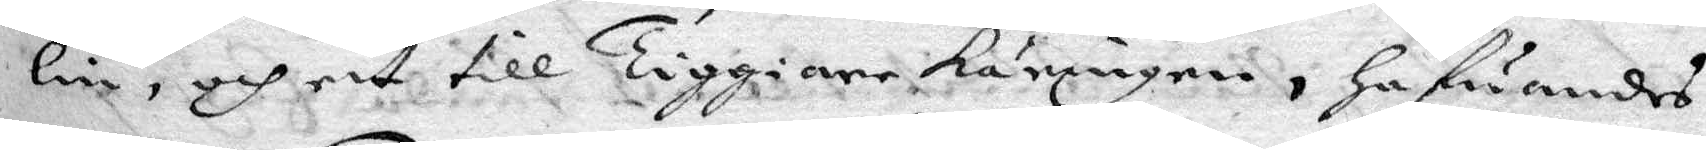lin, och ett till Tiggiarekäringenm hafwandes
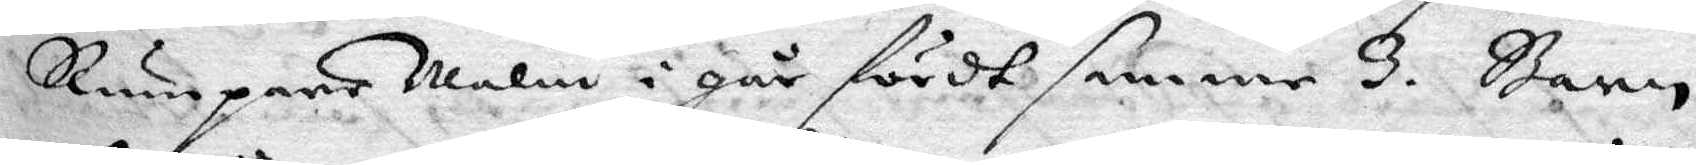Rumparemalin i går fördt hennes 3. Barn
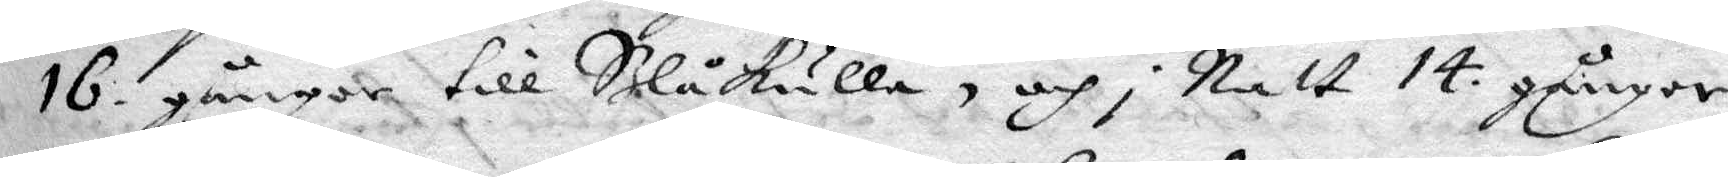16 gånger till Blåkulla, och i Natt 14. gånger
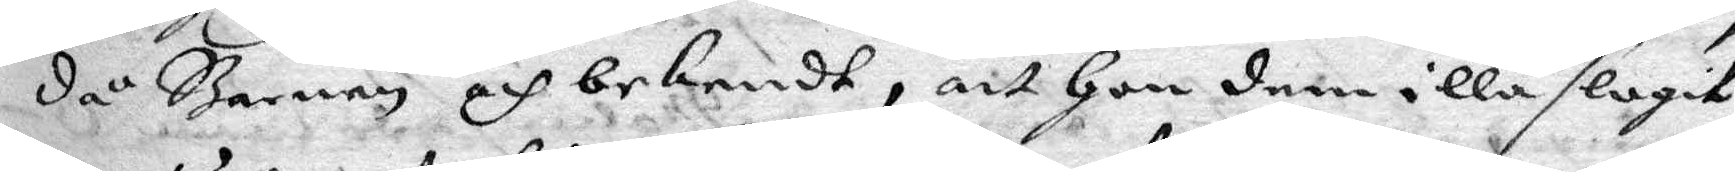då Barnen och bekendt, att hon dem illa slagit
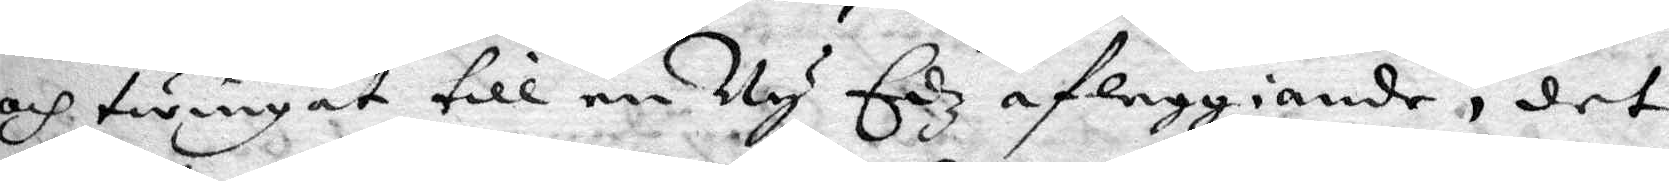och twingat till en Ny Edz afleggiande, det
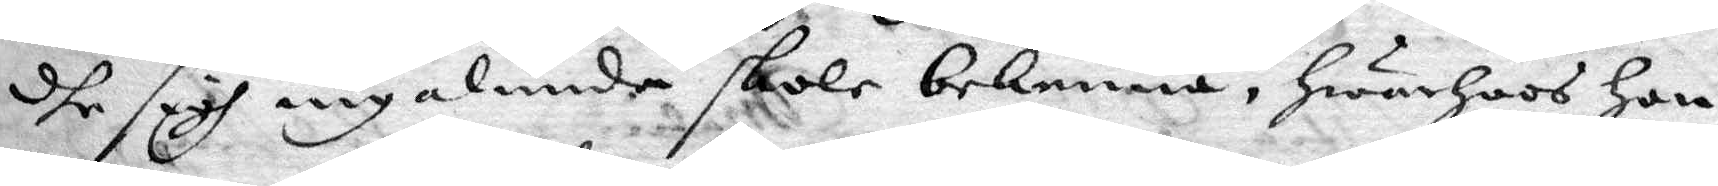dhe sigh ingalunda skole bekenna, hwarhoos hon
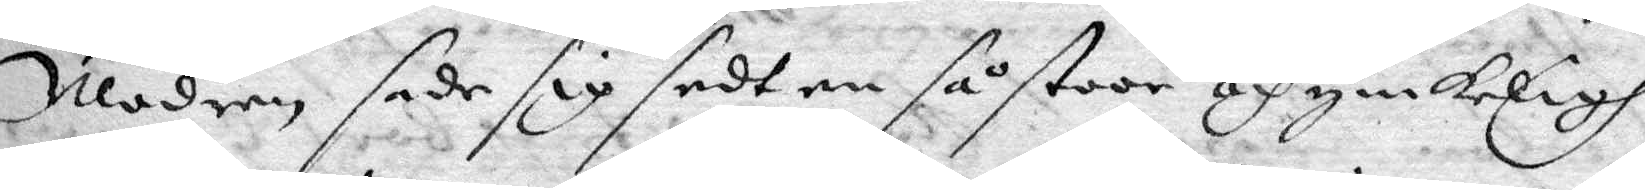Modren sade sig sedt en så stoor och ynkeligh
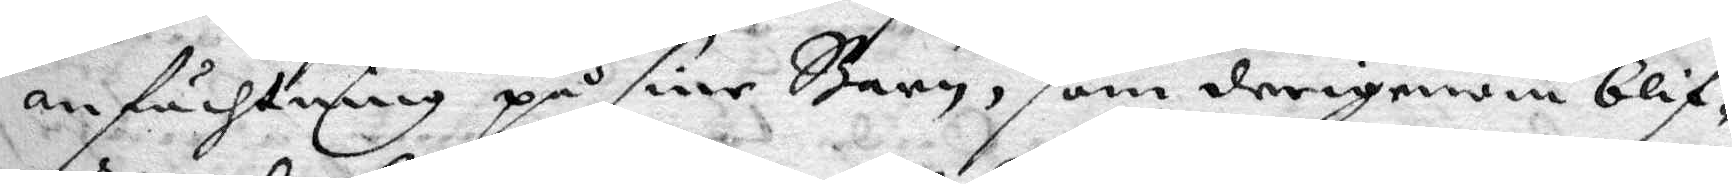anfächtning på sine barn, som derigenom blif¬
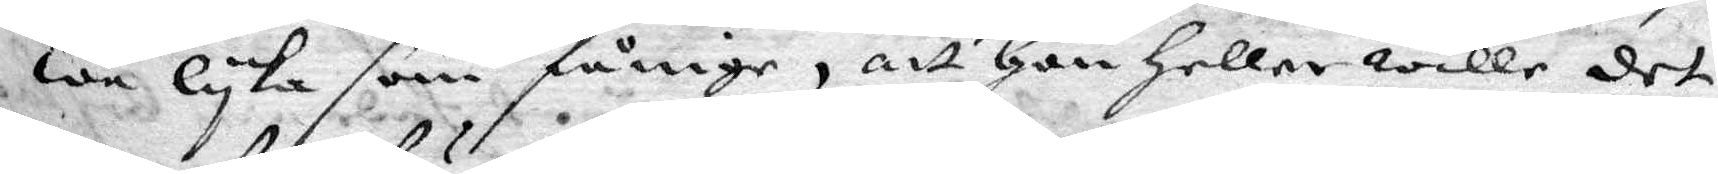we lyka som fånige, att hon heller wille det
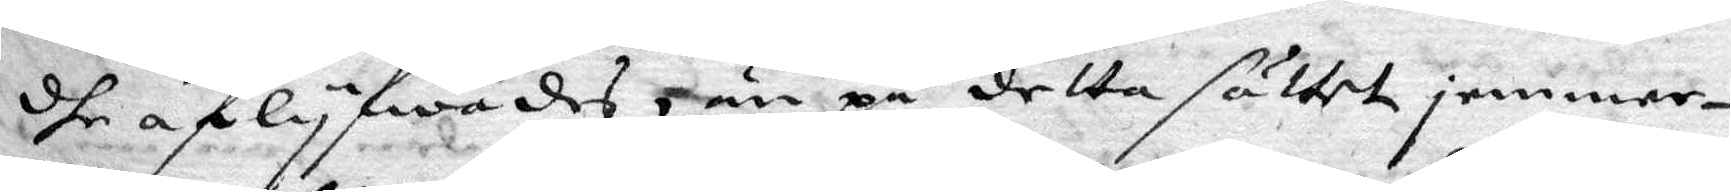dhe aflyfwades, än på detta sättet jemmer¬
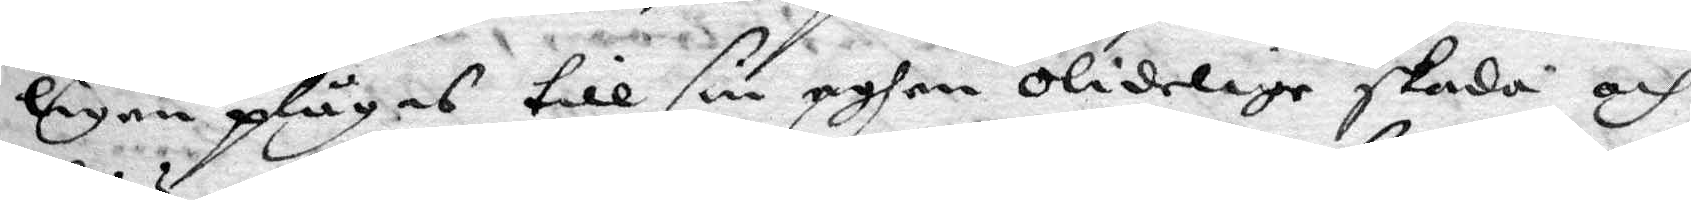ligen plägas till sin eghen olidelige skada och
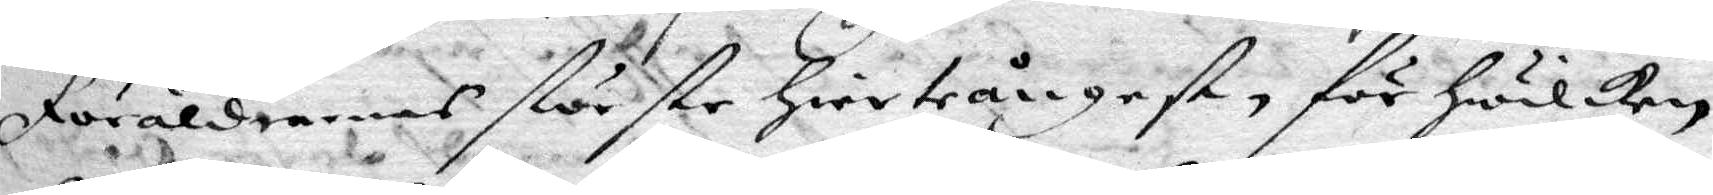Föräldrarnas största hierteångest, för hwilken
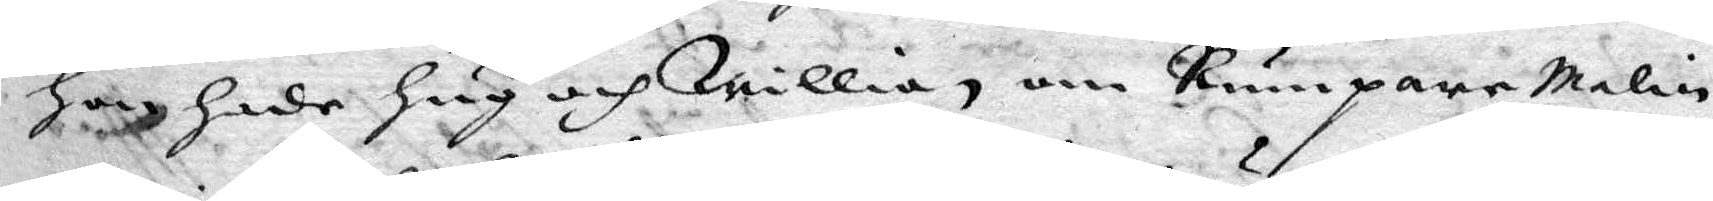hon hade hug och willia, om Rumparemalin
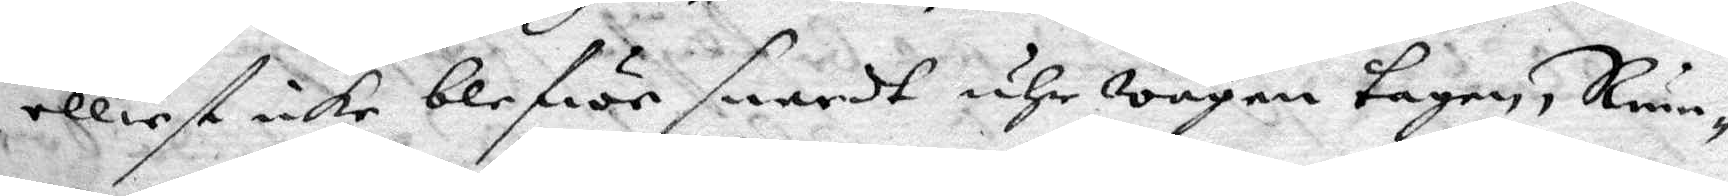elliest icke blefwe snardt uhr wägen tagen, Rum¬
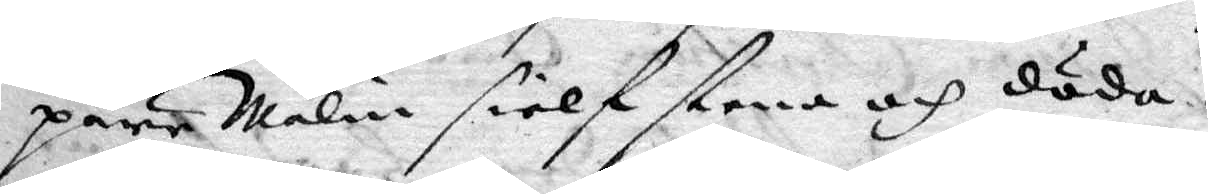pare Malin sielf stena och döda.
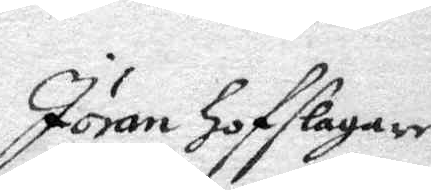Jöran hofslagares
